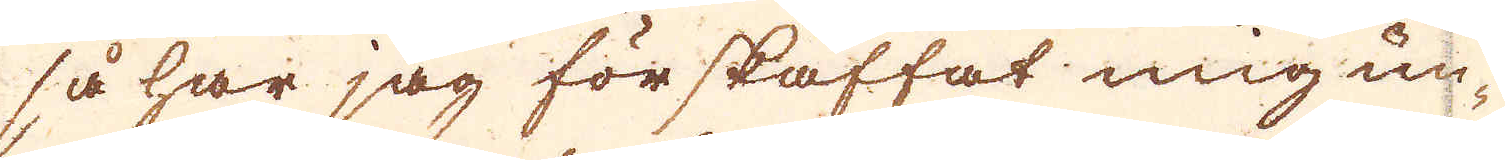så har jag förskaffat mig un-
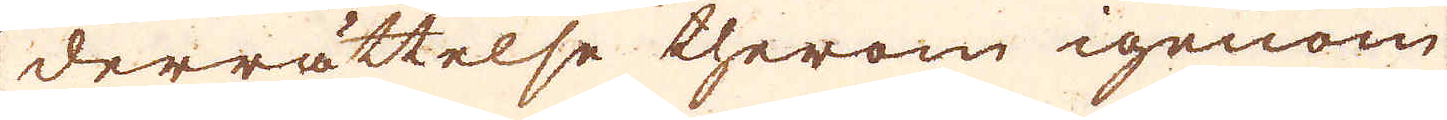derrättelse therom igenom
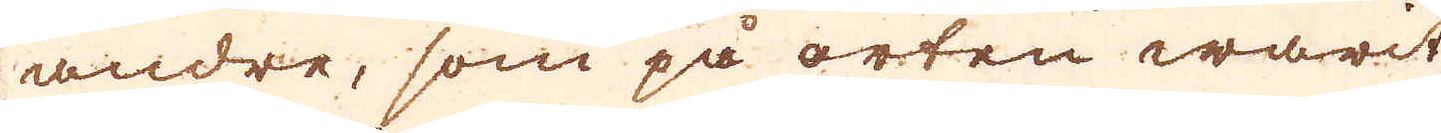andre, som på orten warit
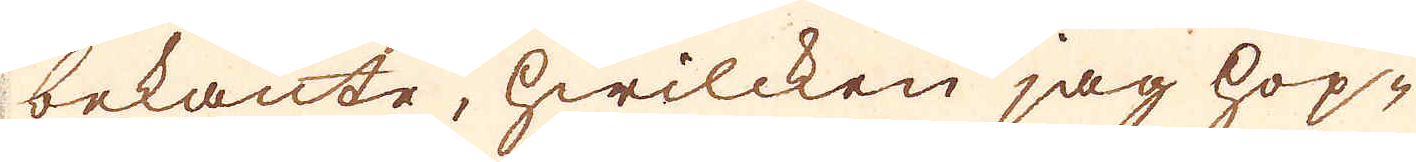bekante, hwilcken jag hop-
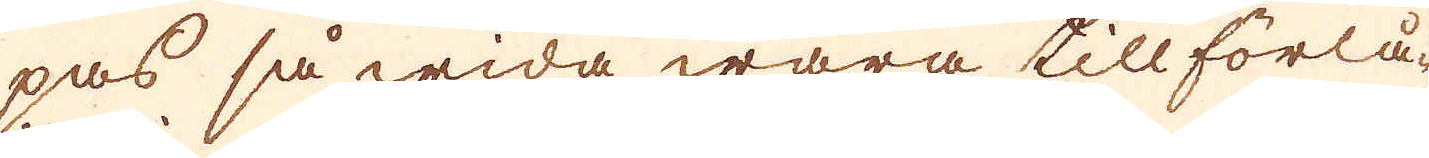pas så wida wara till förlå-
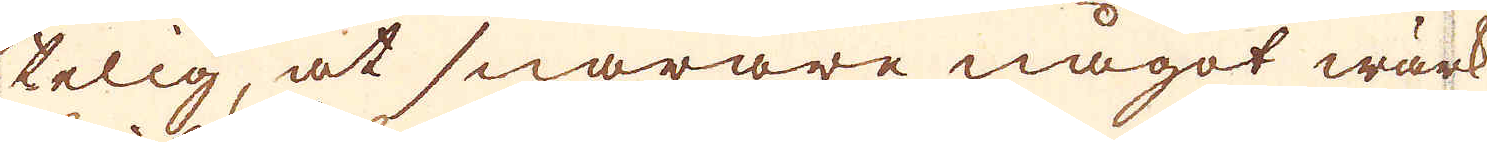telig, at snarare något wärk
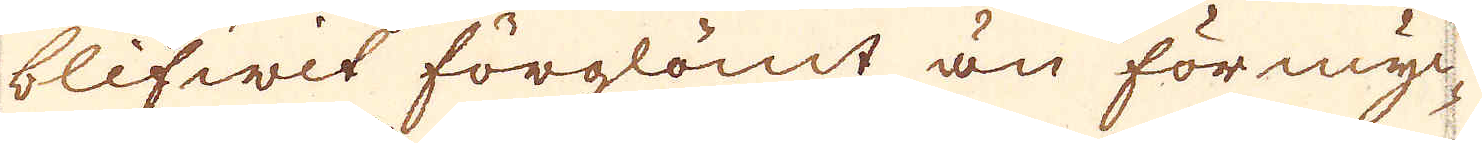blifwit förglömt än förmyc-
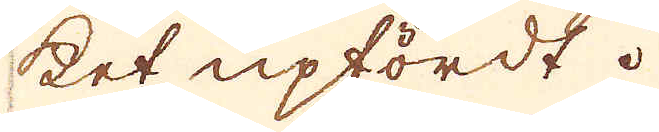ket upfördt.
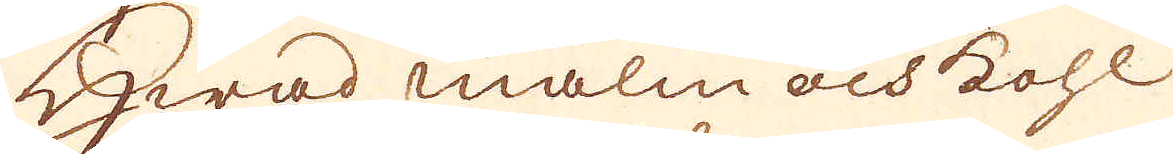Hwad malm och Kohl
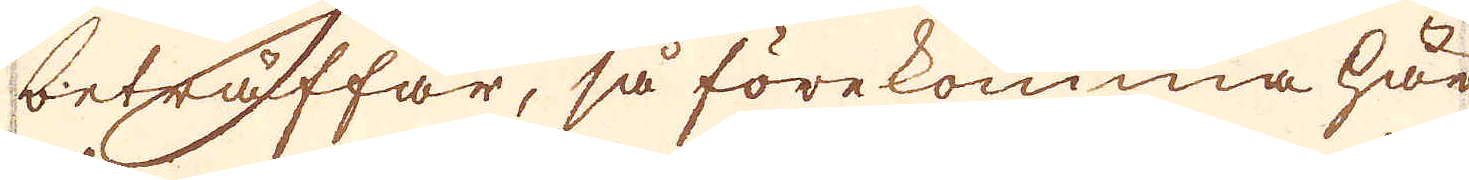beträffar, så förekomma här
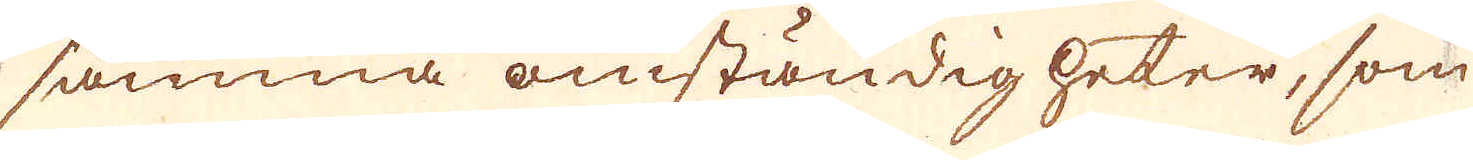samma omständigheter, som
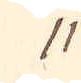11
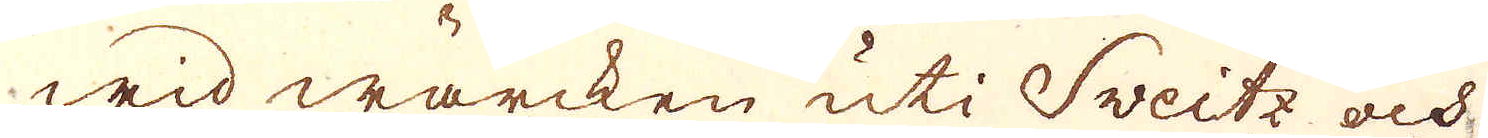wid wärcken uti Sveitz och
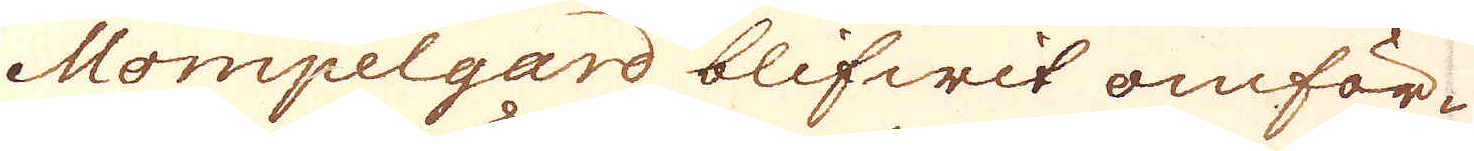Mompelgard blifwit omför-
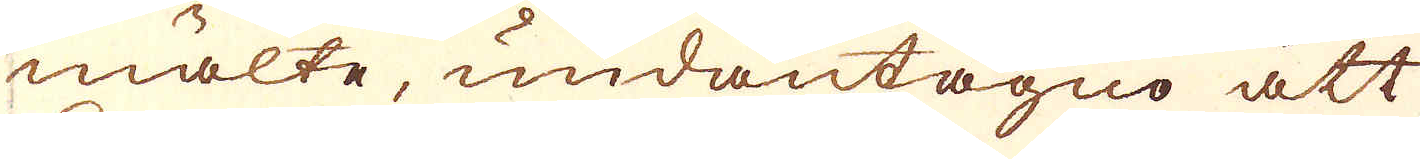mälte, undantagno att
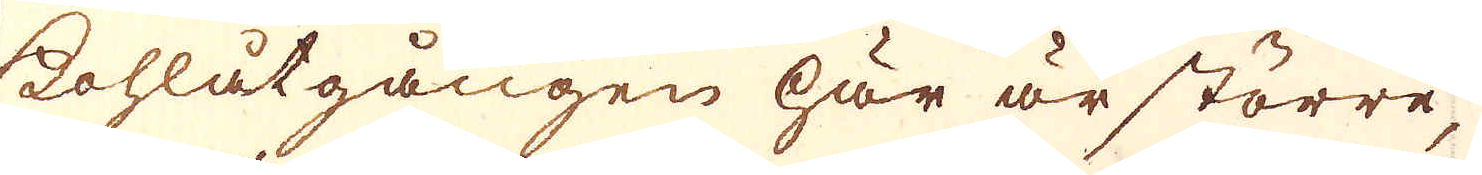Kohlåtgången här är större
